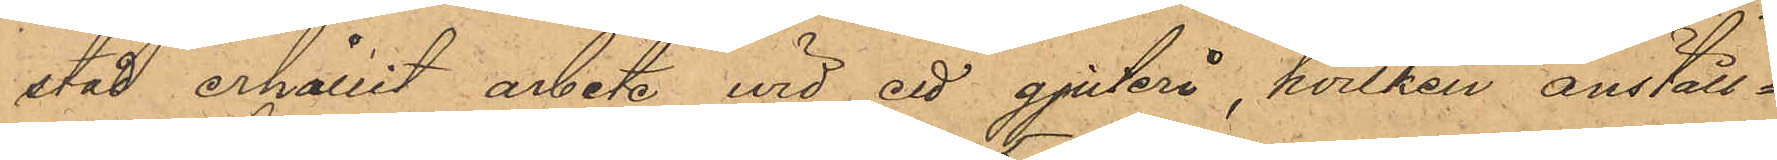stad erhållit arbete wid ett gjuteri, hvilken anställ¬
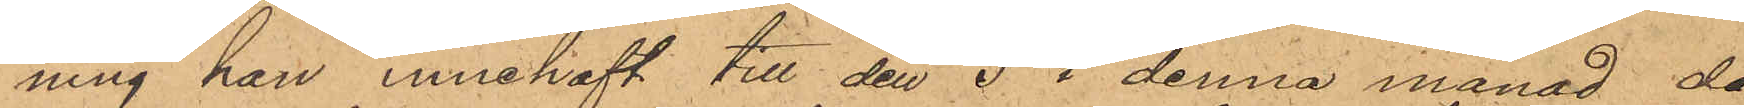ning han innehaft till den 5 i denna månad, då
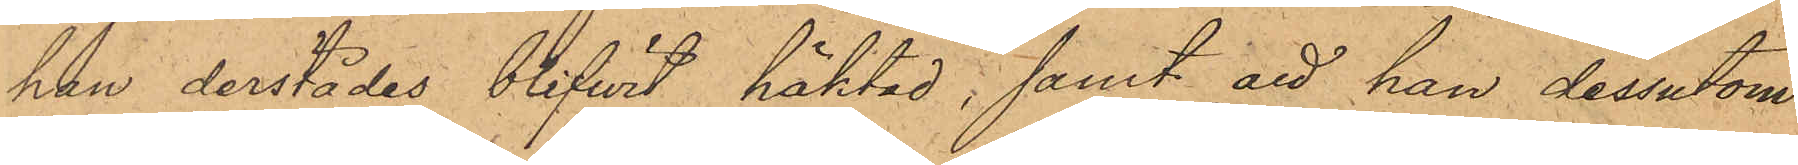han derstädes blifvit häktad, samt att han dessutom
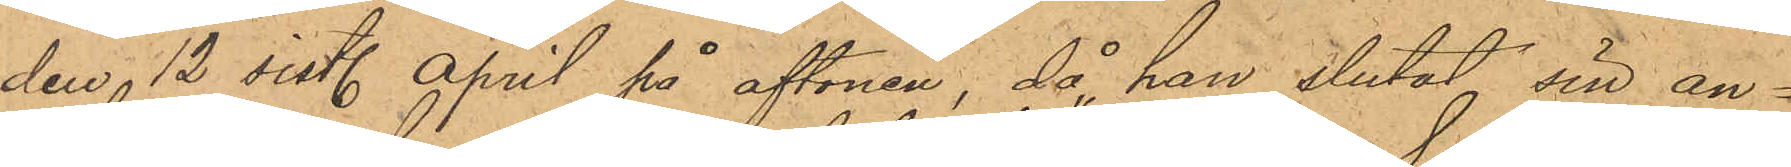den 12 sist. April på aftonen, då han slutat sin an¬
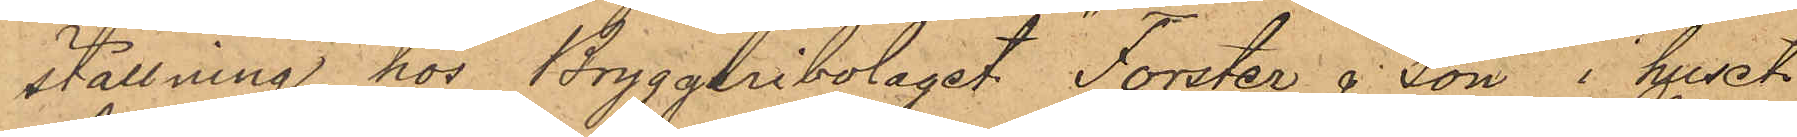ställning hos Bryggeribolaget "Forster & Son" i huset
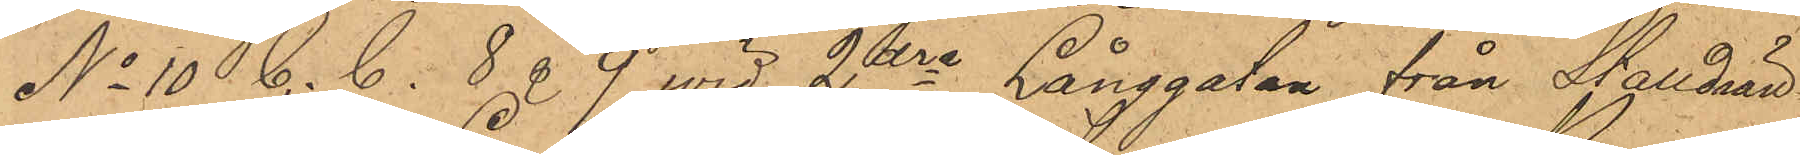No 10 C. C. 8 & 9 vid 2dra Långgatan från Stalldrän¬
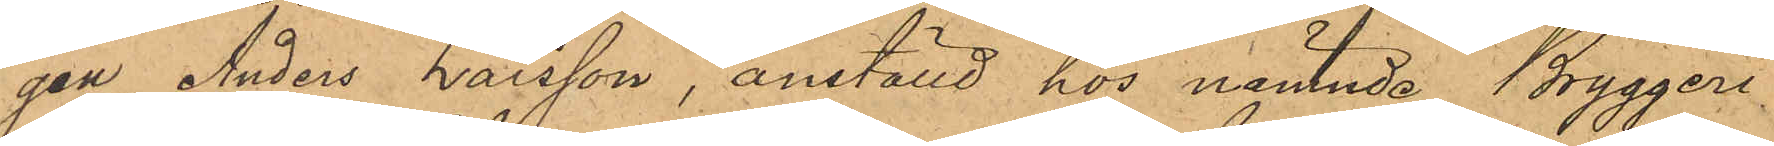gen Anders Larsson, anställd hos nämnde Bryggeri¬
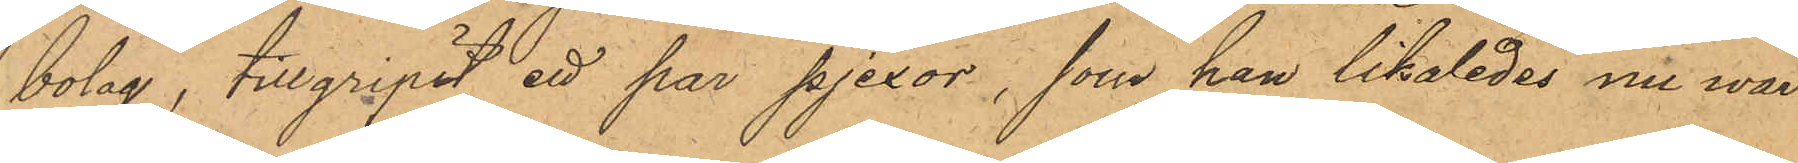bolag, tillgripit ett par pjexor, som han likaledes nu war
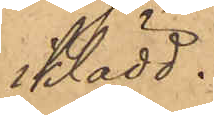klädd.
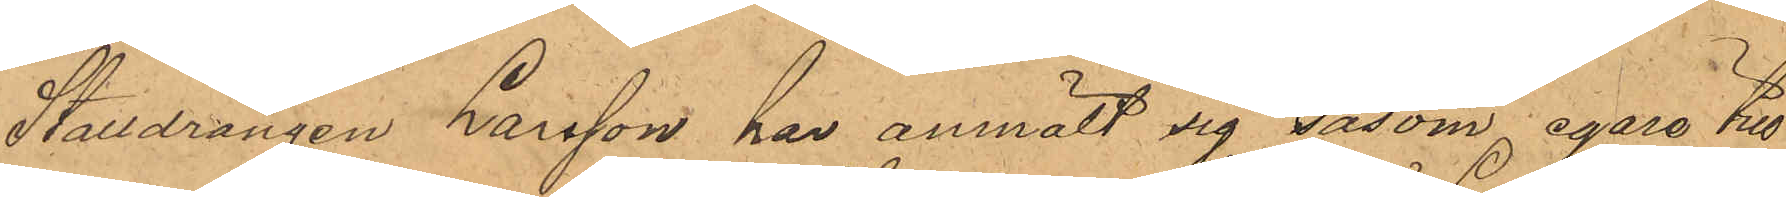Stalldrängen Larsson har anmält sig såsom egare till
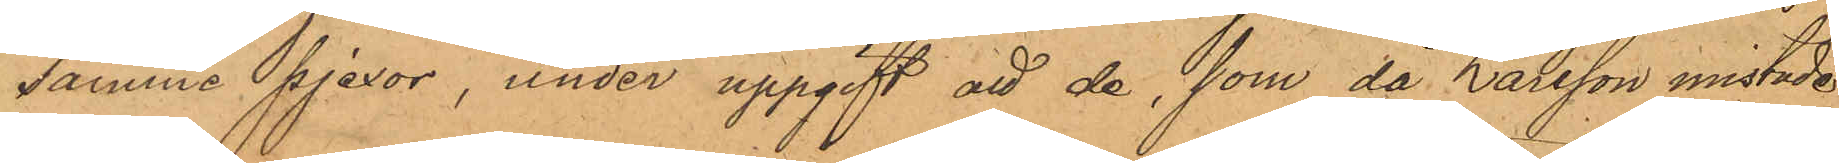samme pjexor, under uppgift att de, som då Larsson mistade
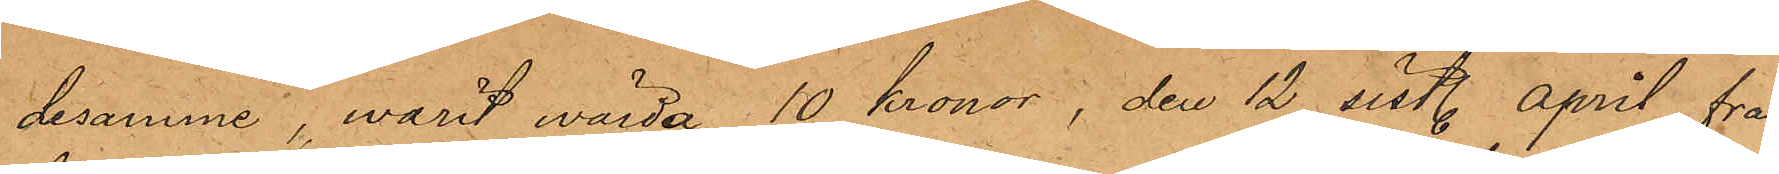desamme, warit wärda 10 kronor, den 12 sist. april från
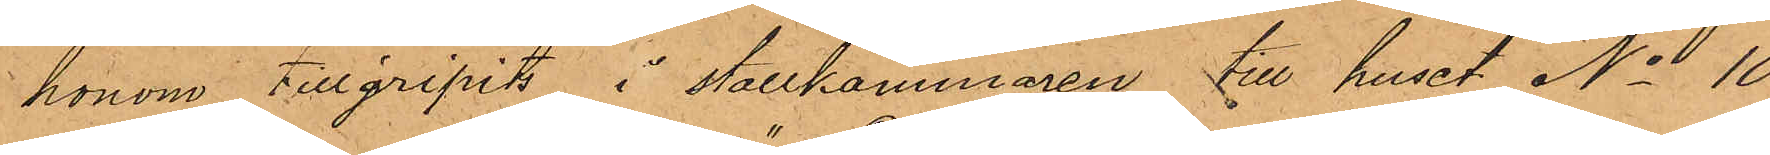honom tillgripits i stallkammaren till huset No 10
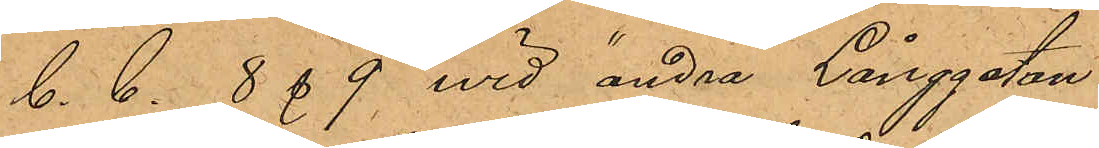C. C. 8 & 9 wid "andra" Långgatan.
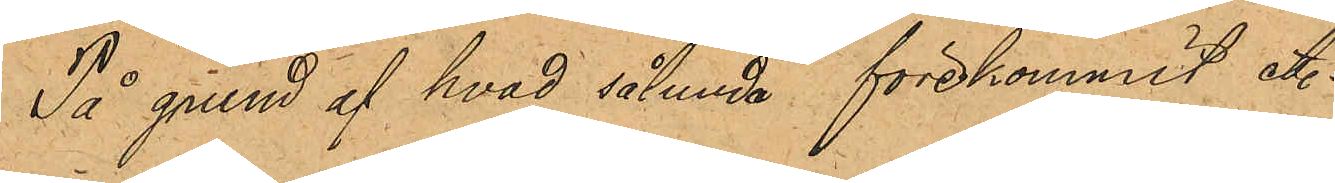På grund af hvad sålunda förekommit etc.
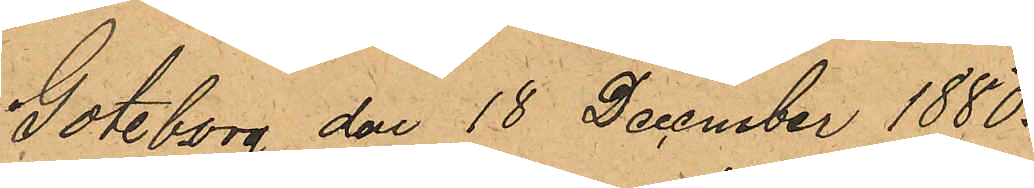Göteborg den 18 December 1880.
